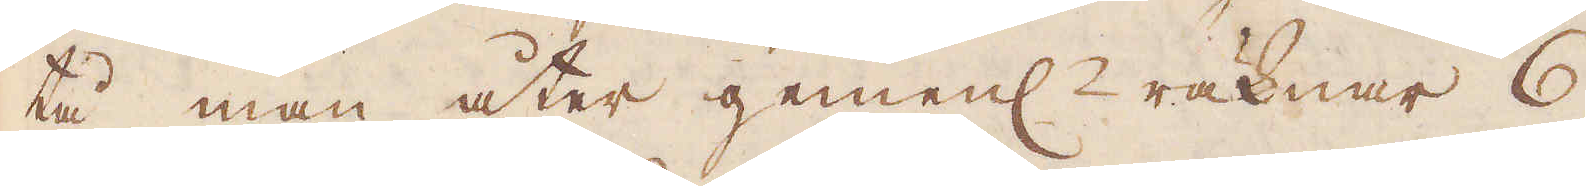tå man åter gemenl:n räknar 6
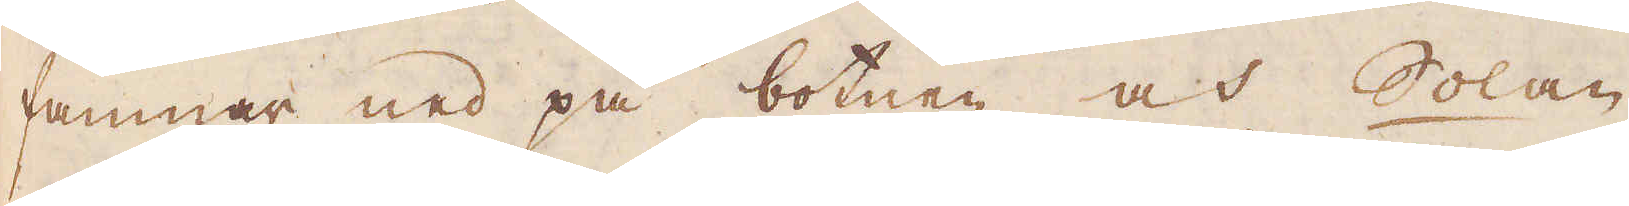famnar ned på botnen och Solan
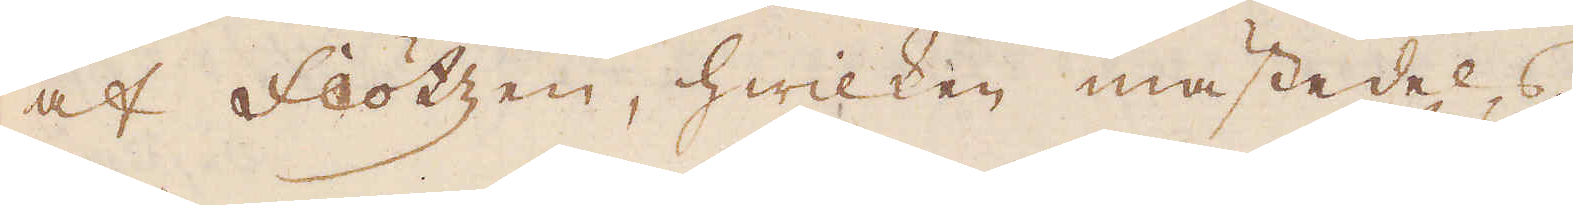af Flötzen, hwilken mästedels
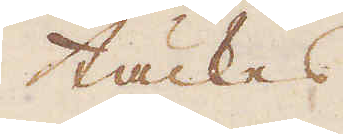täckes
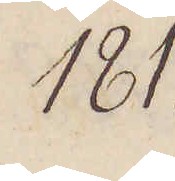181.
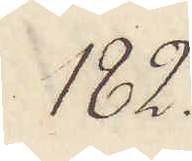182.
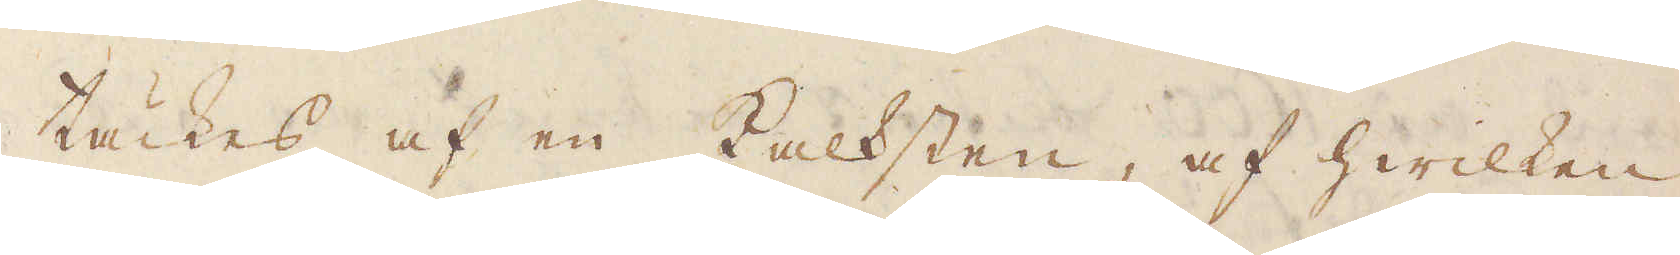täckes af en Kalksten, af hwilken
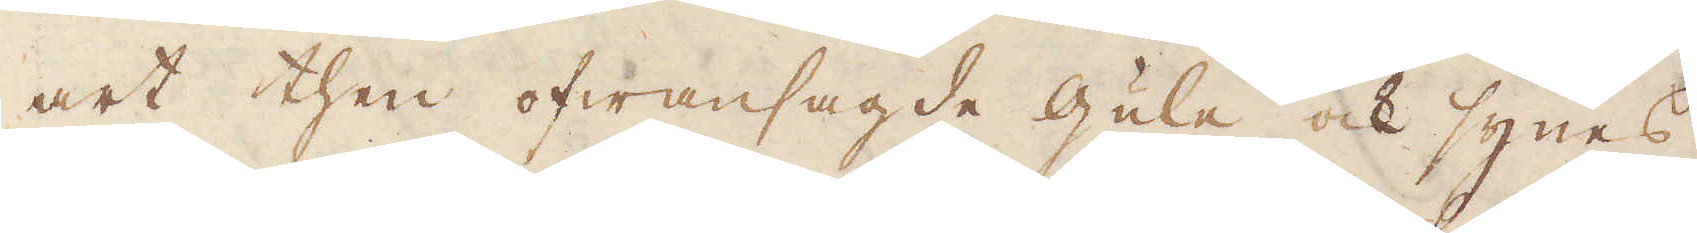art then ofwansagde gule ock synes
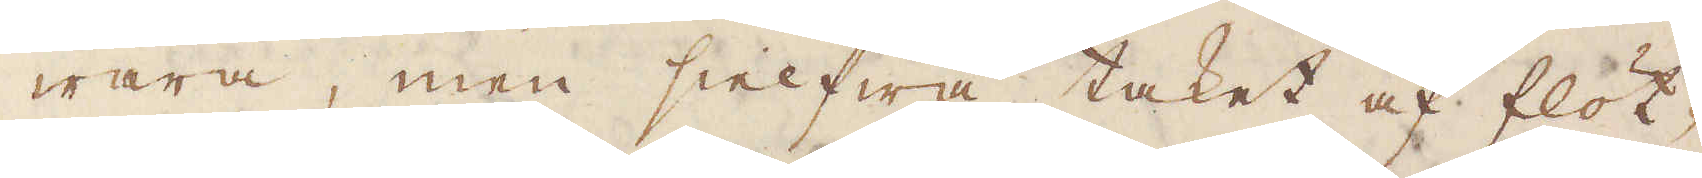wara, men sielfwa taket af flöt-
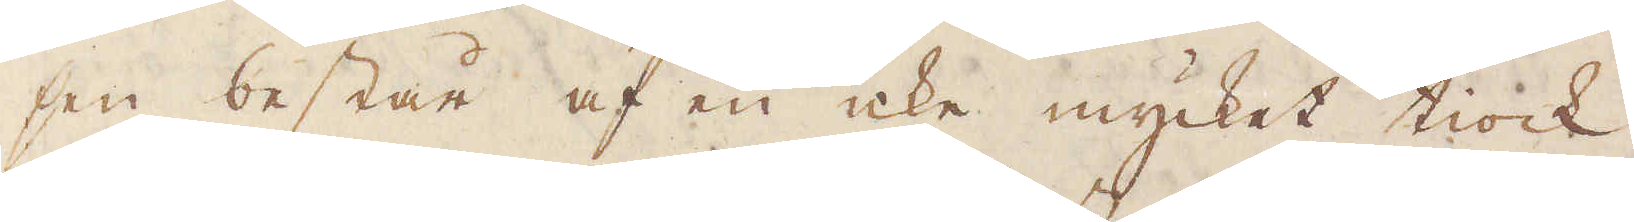sen består af en icke mycket tiock
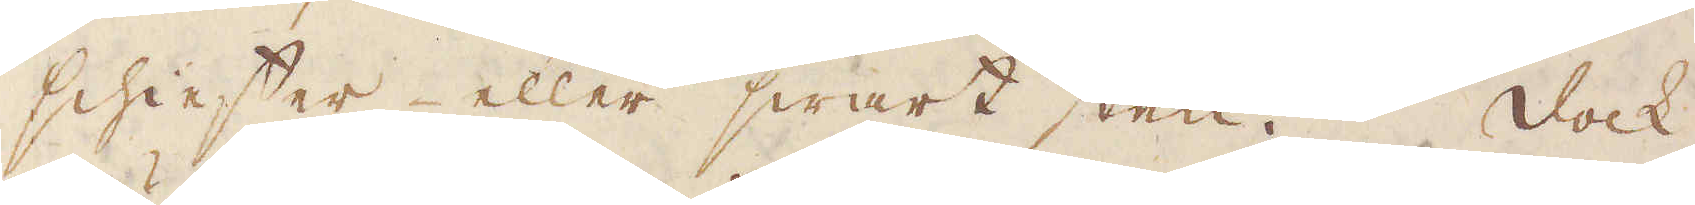schieffer eller swart sten. Dock
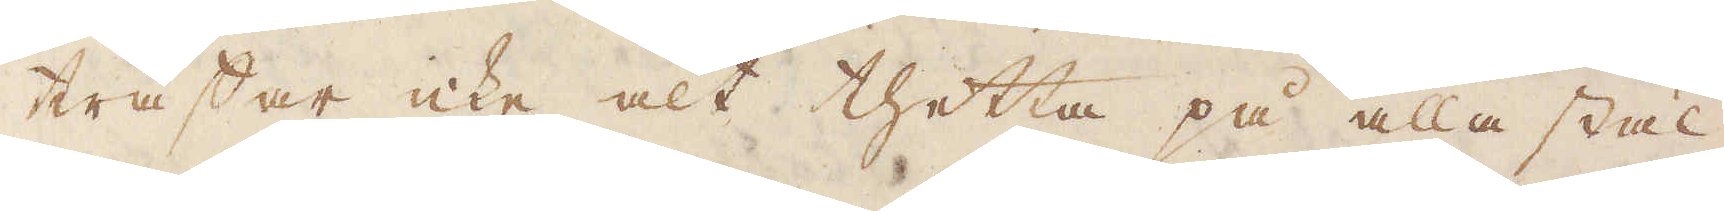träffar icke alt thetta på alla stäl-
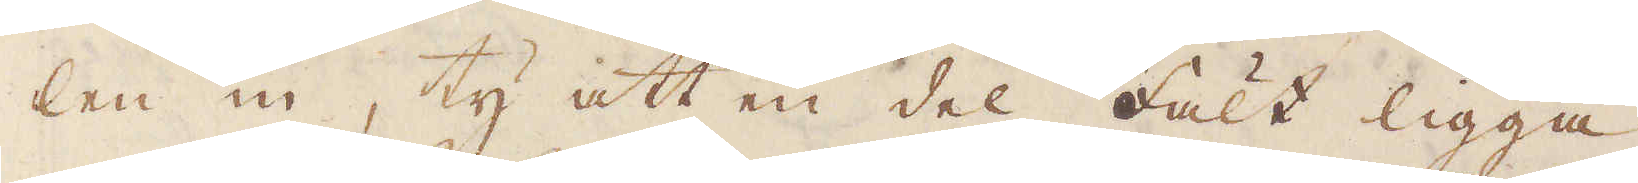len in, ty att en del fält ligga
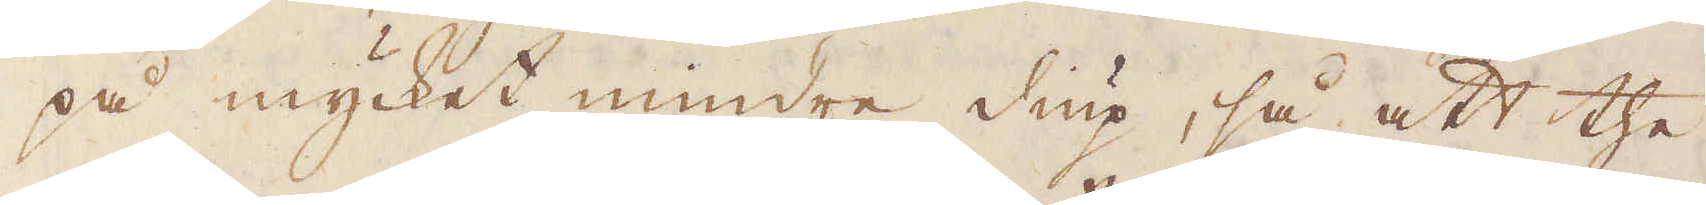på mycket mindre diup, så att the
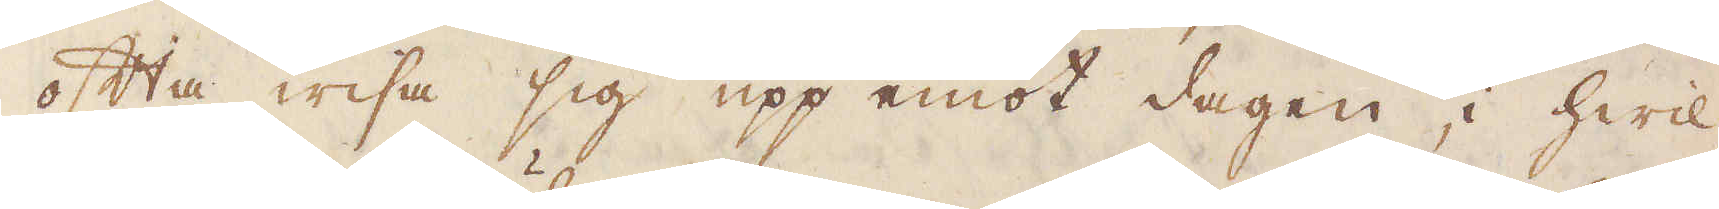ofta wisa sig upp emot dagen, i hwil-
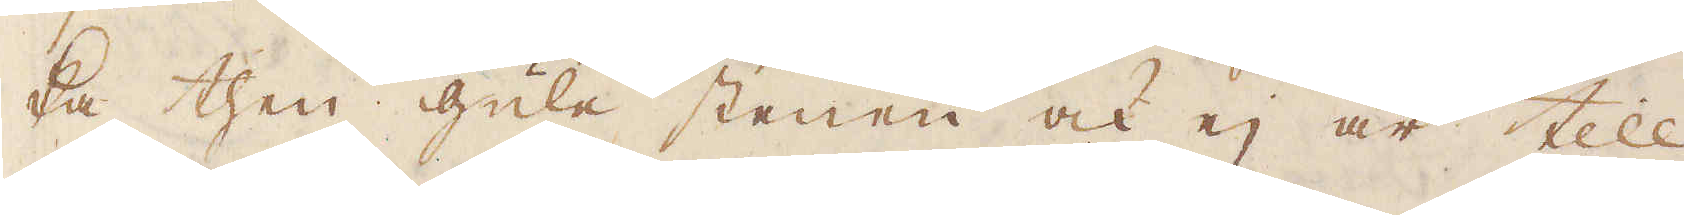ka then gule stenen ock ej är till
